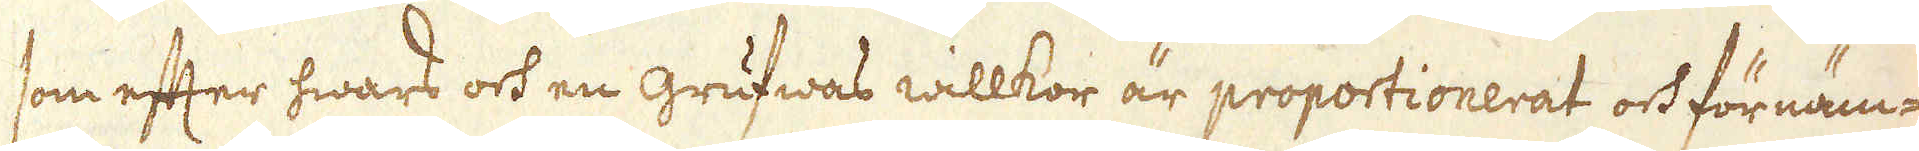som efter hwars och en grufwas willkor är proportionerat och förnäm-
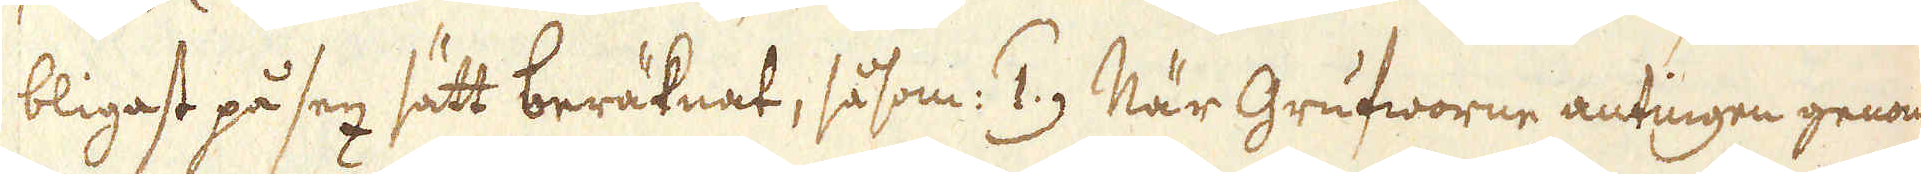bligast på sex sätt beräknat, såsom: 1) När Grufworne antingen genom
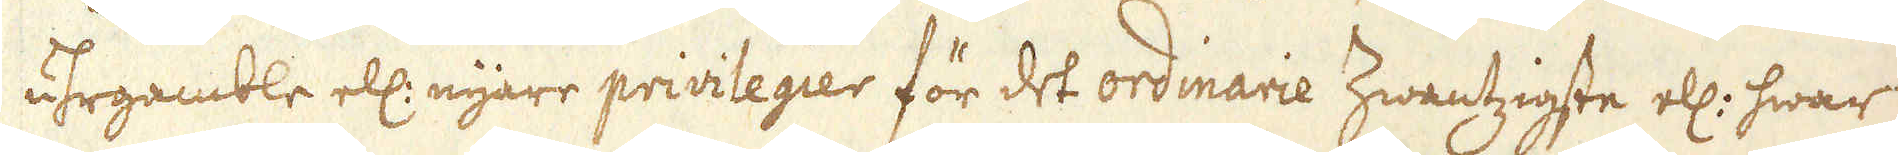uhrgamble ell: nyare privilegier för det ordinarie Zwantzigste ell: hwar
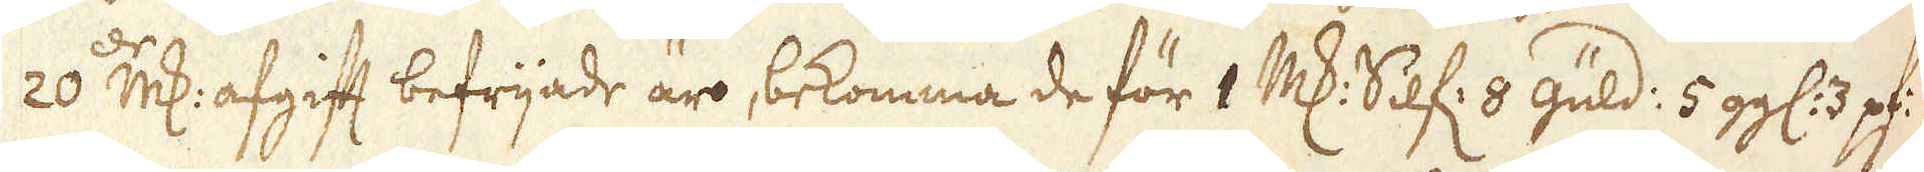20:de marker afgift befrijade äro, bekomma de för 1 marker Silf: 8 Guld: 5 gg: 3 pf:
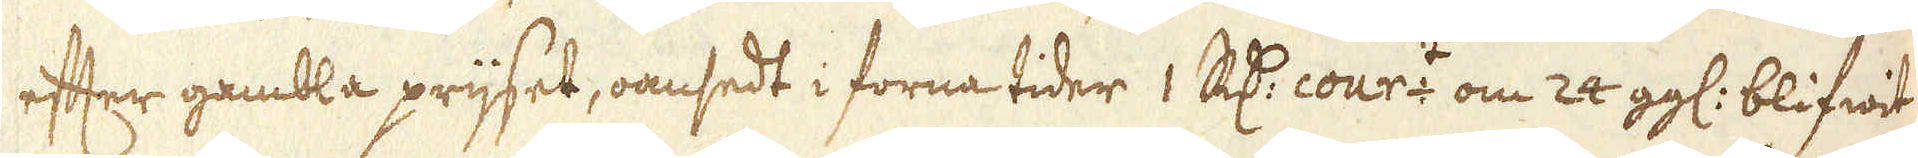efter gambla prijset, oansedt i forna tider 1 R:dr cour:t om 24 gg: blifwit
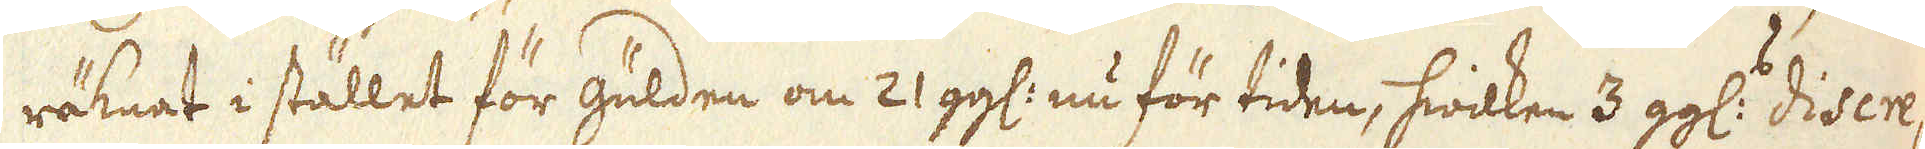räknat i stället för gulden om 21 gg: nu för tiden, hwilken 3 gg: discre-
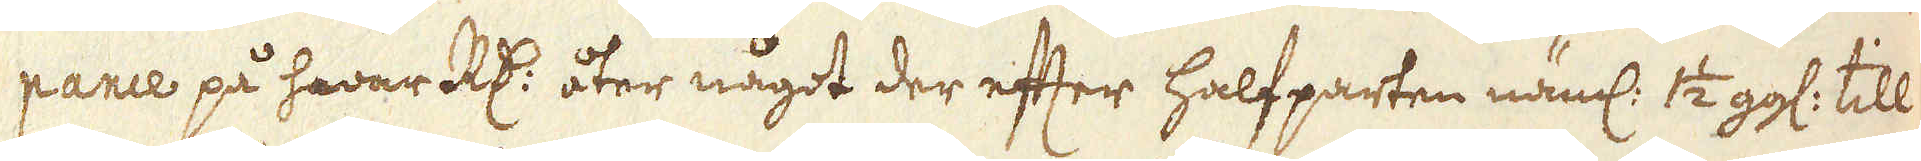pance på hwar R:dr åter något der efter halfparten näml: 1 1/2 gg: till
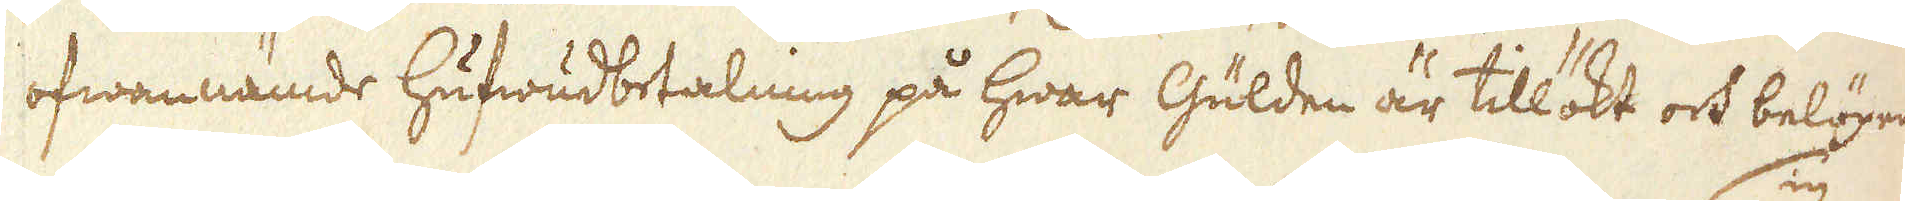ofwannämde hufwudbetalning på hwar Gulden är tillökt och belöper
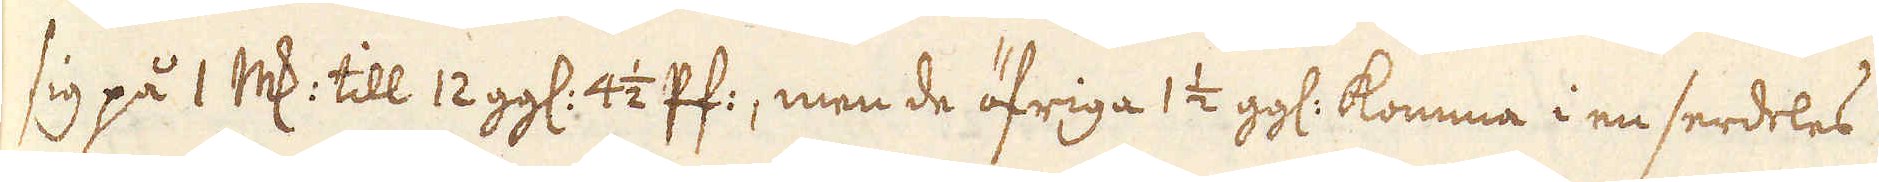sig på 1 marker till 12 gg: 4 1/2 Pf:, men de öfriga 1 1/2 gg: komma i en serdeles
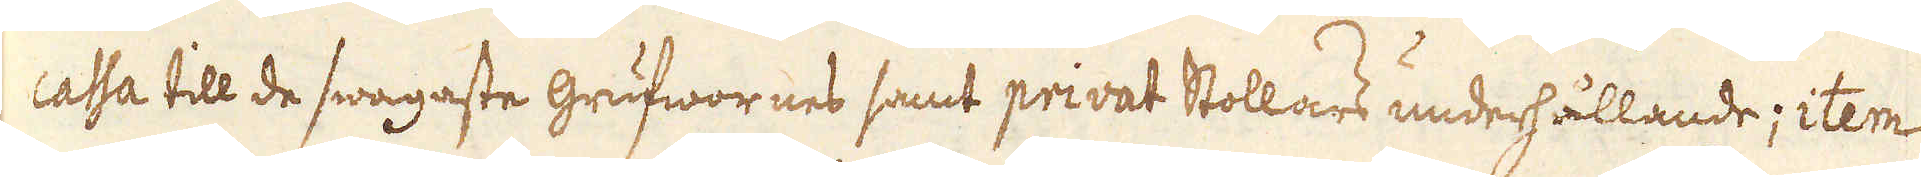cassa till de swagaste grufwornes samt privat Stollars underhållande; item
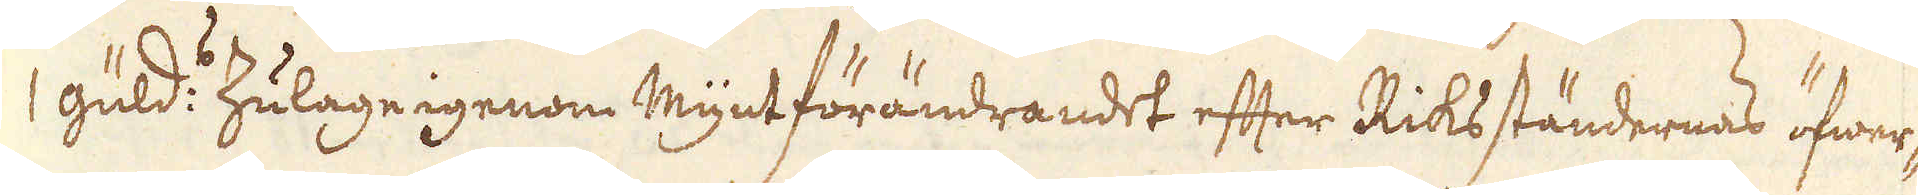1 guld:s Zulage igenom Myntförändrandet efter Riks ständernas öfwer-
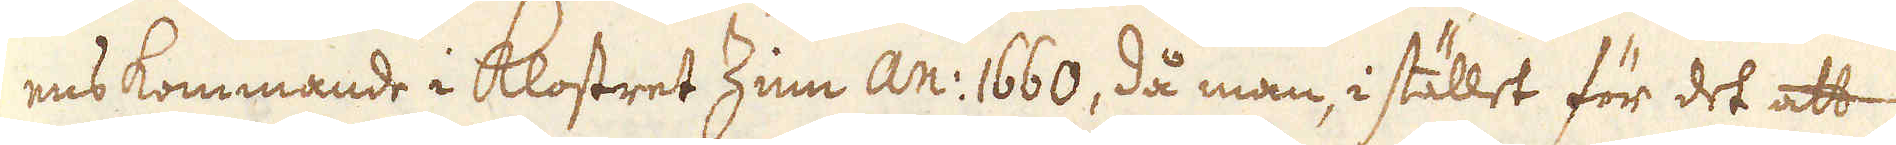ens kommande i klostret Zinn An: 1660, då man, i stället för det att
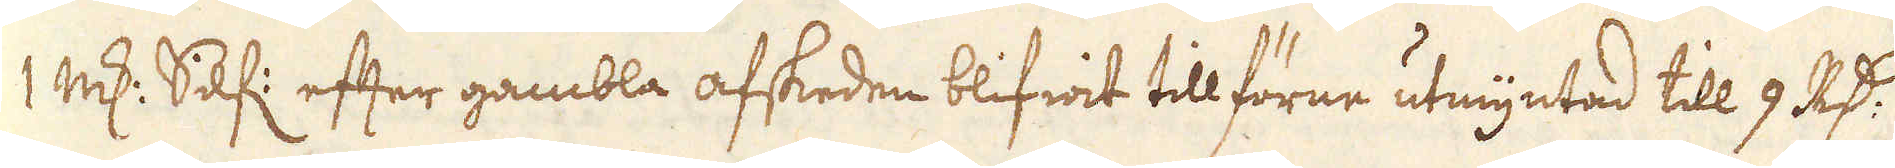1 marker Silf: efter gambla afskeden blifwit tillförne utmyntad till 9 R:dr
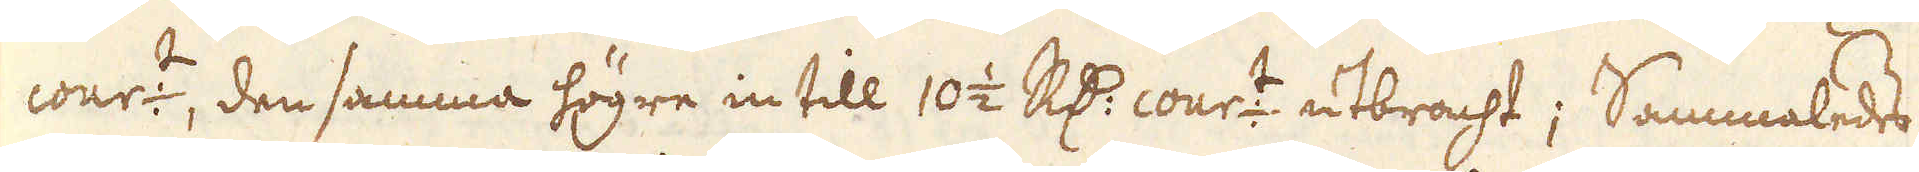cour:t, den samma högre in till 10 1/2 R:dr cour:t utbracht; Sammaledes
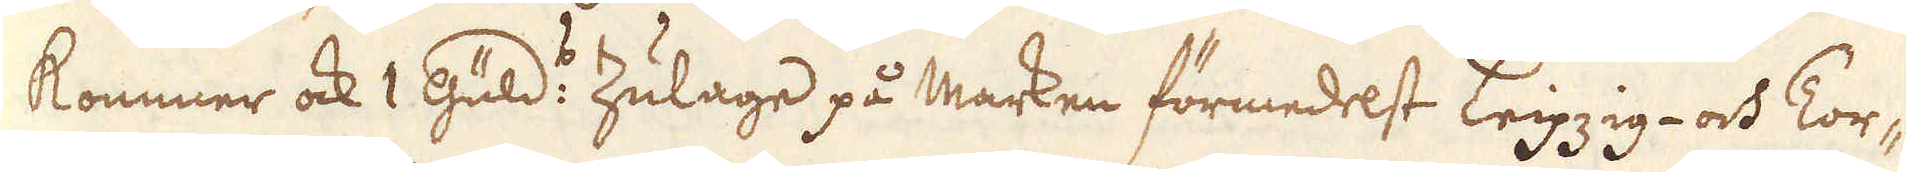kommer ock 1 Guld:e Zulage på Marken förmedelst Leipzig- och Tor-
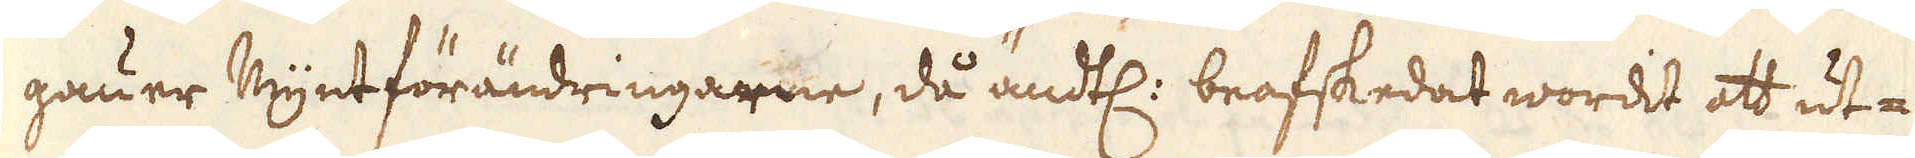gauer Myntförändringarne, då ändtl: beafskedat wordit att ut-
